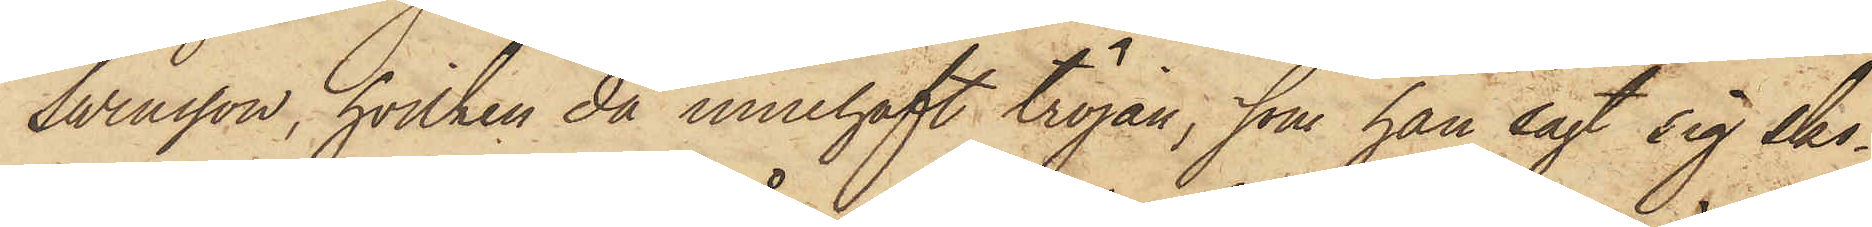Swensson, hvilken då innehaft tröjan, som han sagt sig sko¬
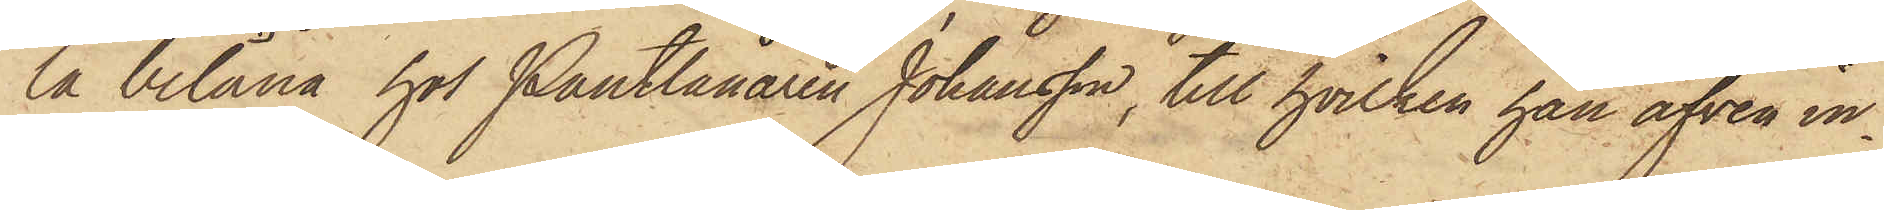la belåna hos Pantlånaren Johansson, till hvilken han äfven in¬
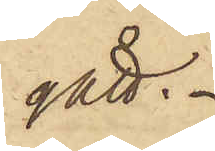gått.
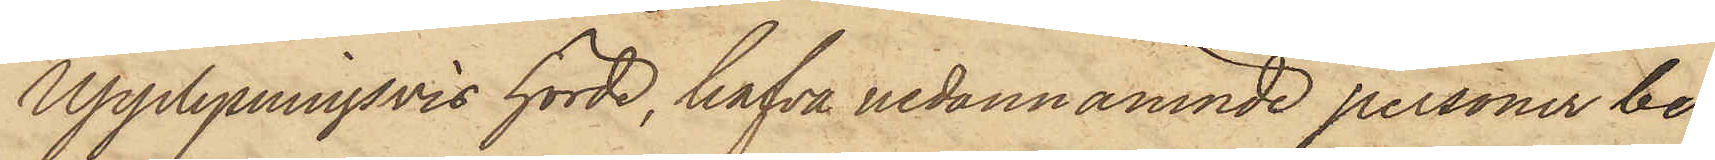Upplysningsvis hörde, hafva nedannämnde personer be¬
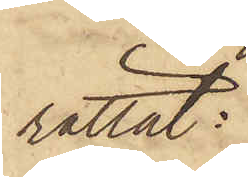rättat:
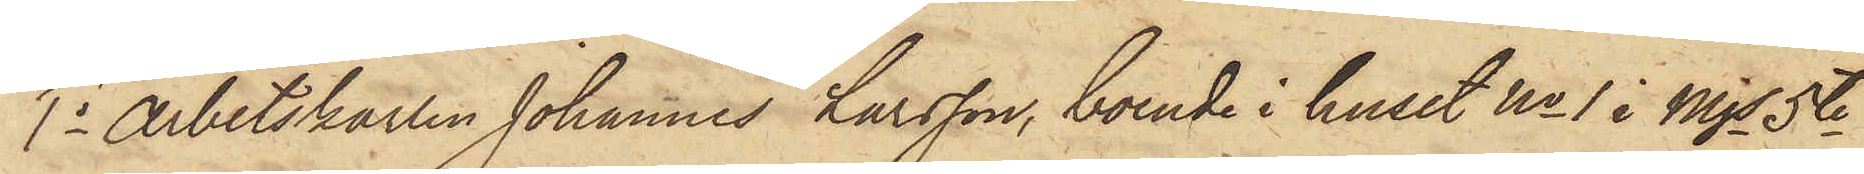1o Arbetskarlen Johannes Larsson, boende i huset No 1 i Mjs 5te
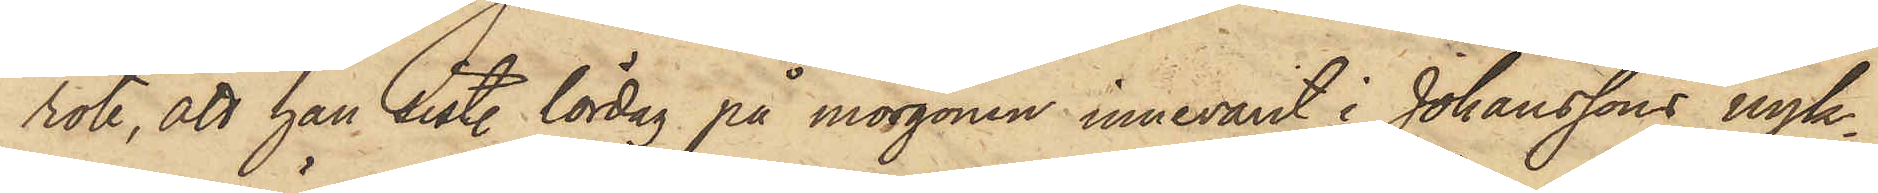rote, att han sist. lördag på morgonen innevarit i Johanssons nyk¬
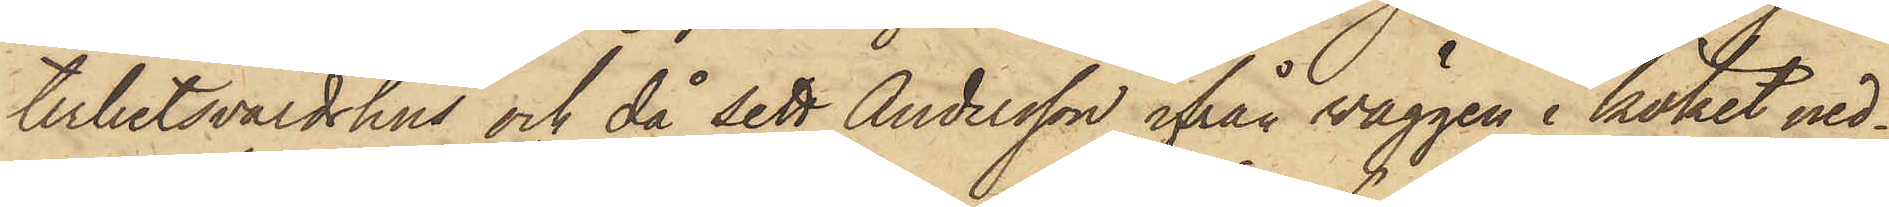terhetsvärdshus och då sett Andersson ifrån väggen i köket ned¬
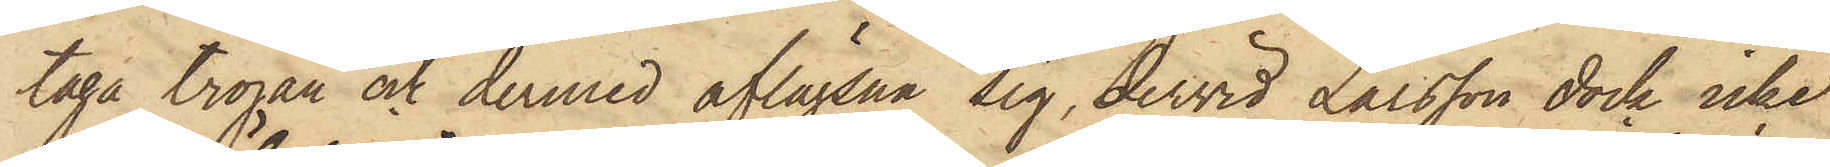taga tröjan och dermed aflägsna sig, dervid Larsson dock icke
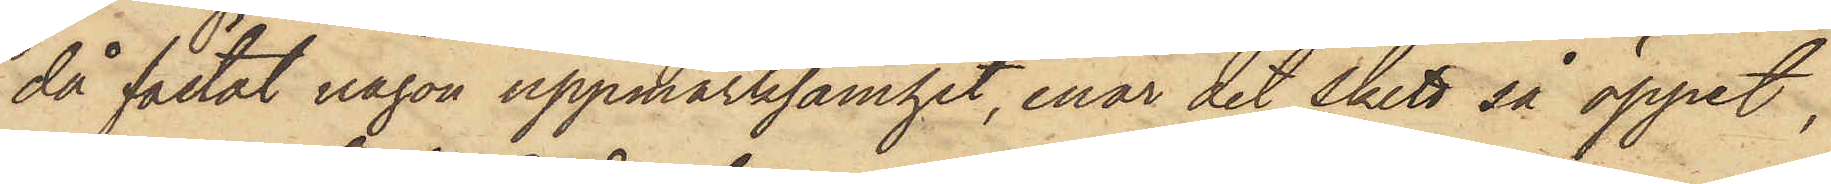då fästat någon uppmärksamhet, enär det skett så öppet,
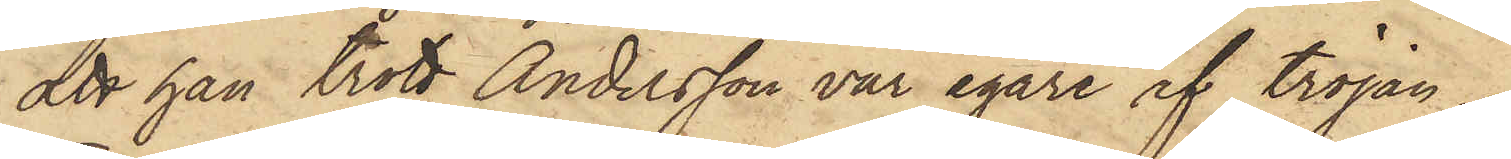att han trott Andersson var egare af tröjan.
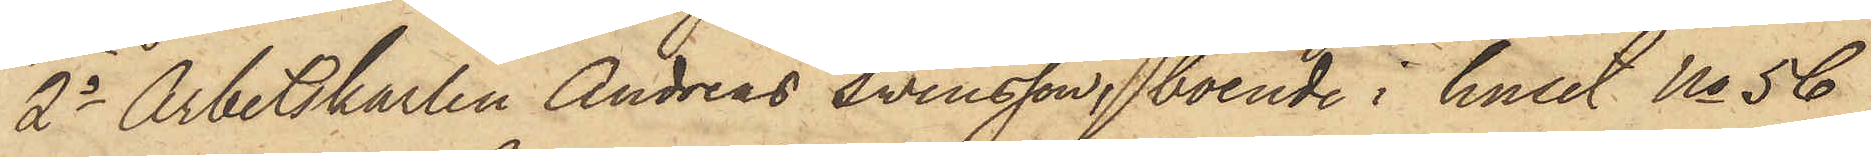2o Arbetskarlen Andreas Svensson, boende i huset No 56
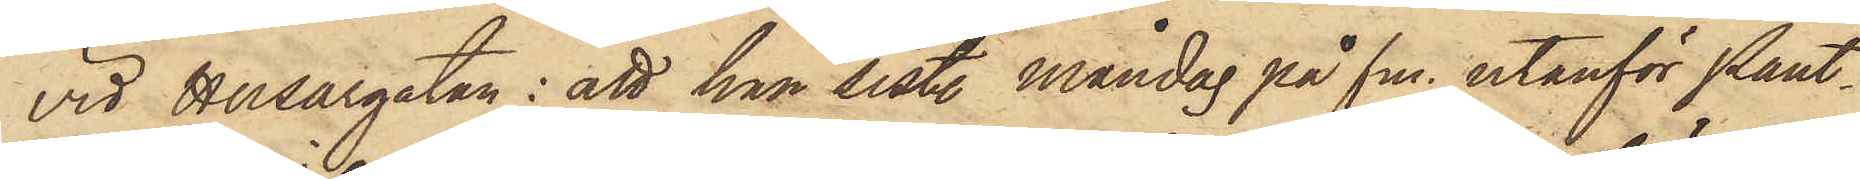vid Husargatan: att han sist. Måndag på fm. utanför Pant¬
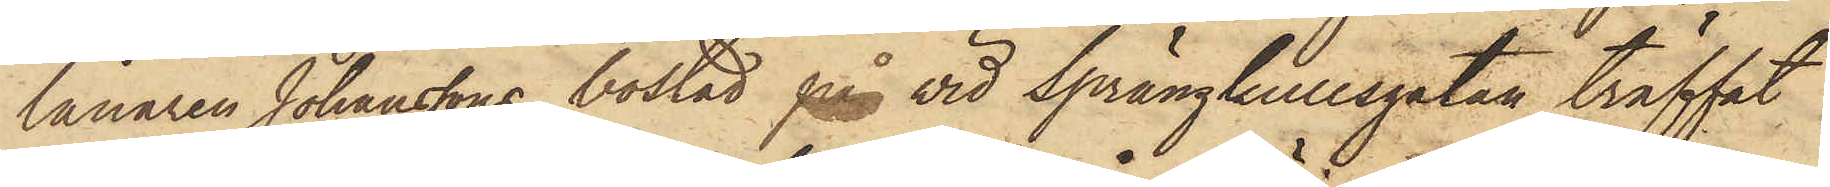lånaren Johanssons bostad på vid Sprängkullsgatan träffat
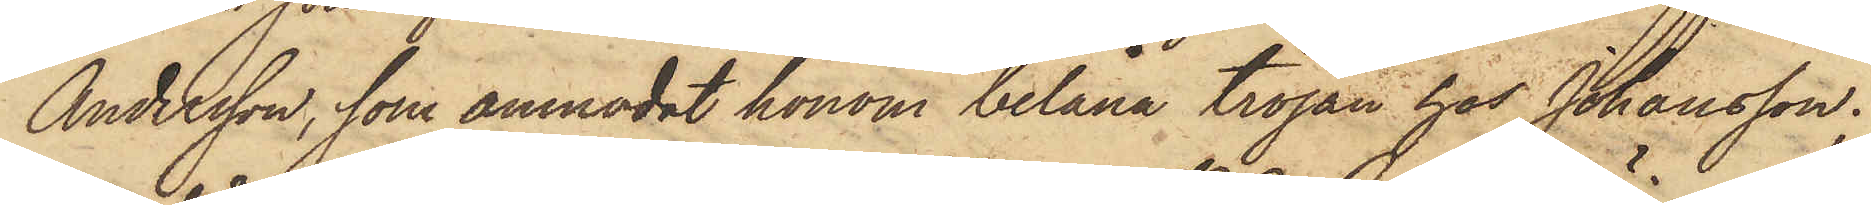Andersson, som anmodat honom belåna tröjan hos Johansson.
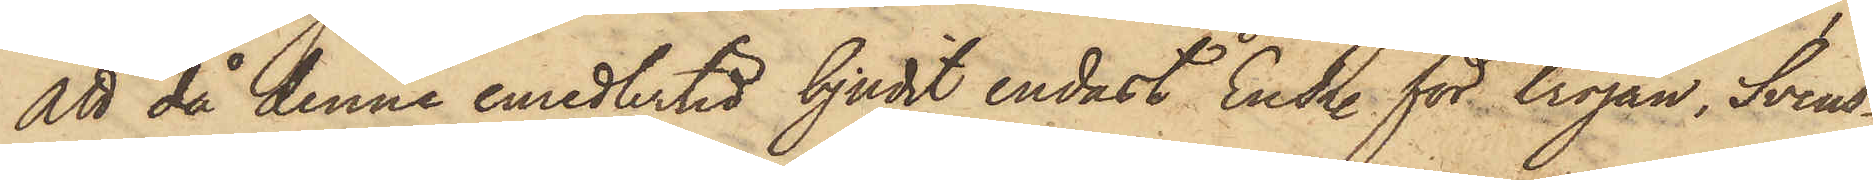Att då denne emedlertid bjudit endast En R. för tröjan, Svens¬
